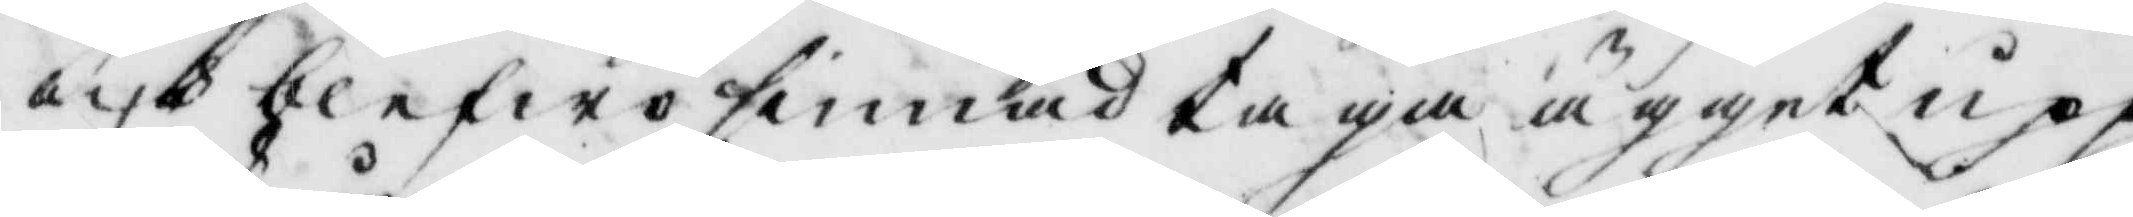och blefwo sinnad taga ägget upp,
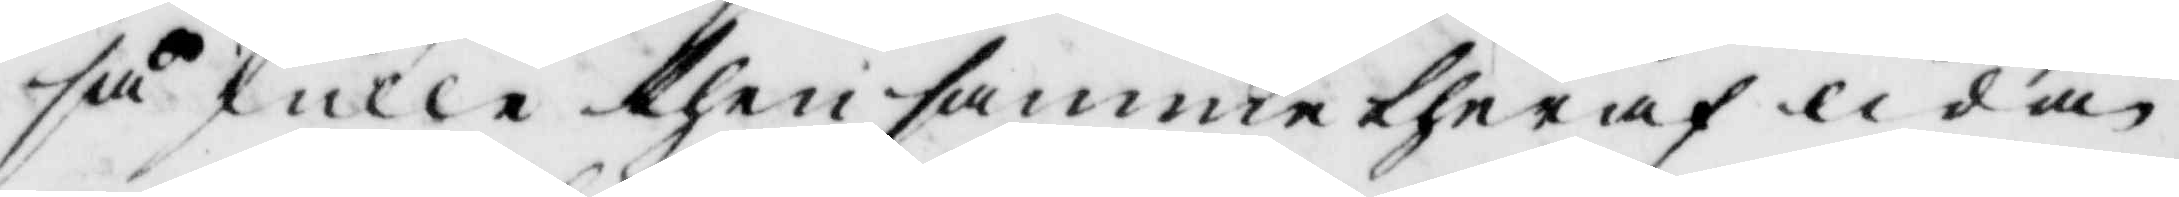så skulle then samme theraf lida
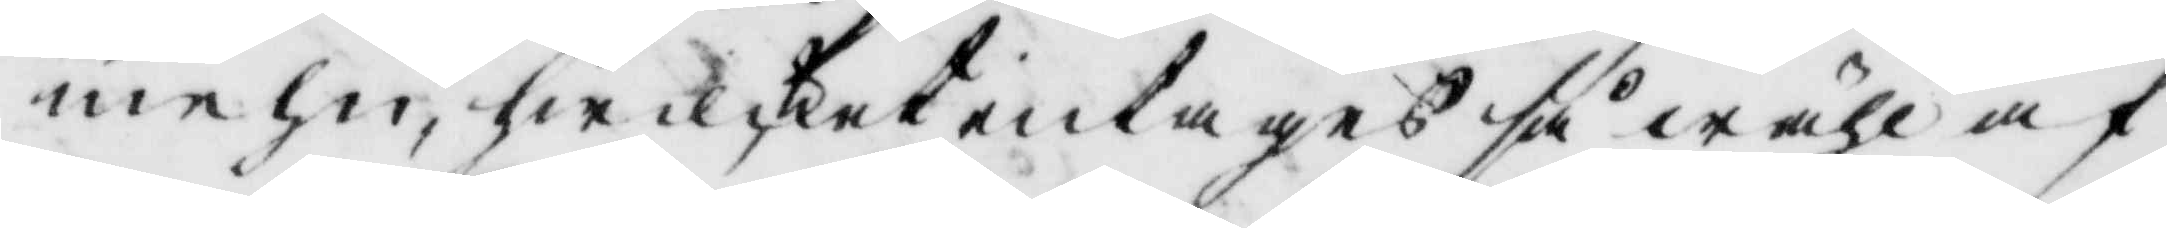mehn, hwilcket intagas så wähl af
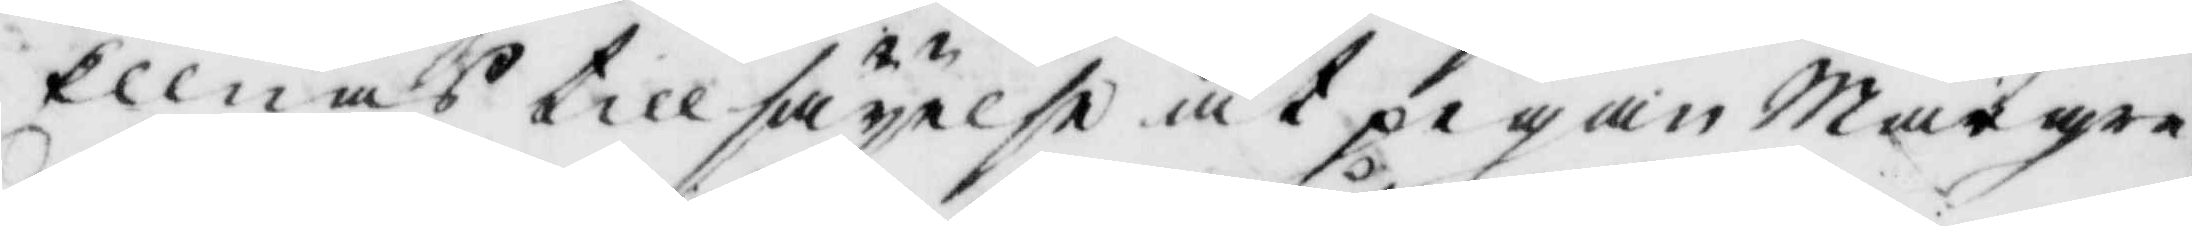Ellnas tillsäyelse at pigan Margre¬
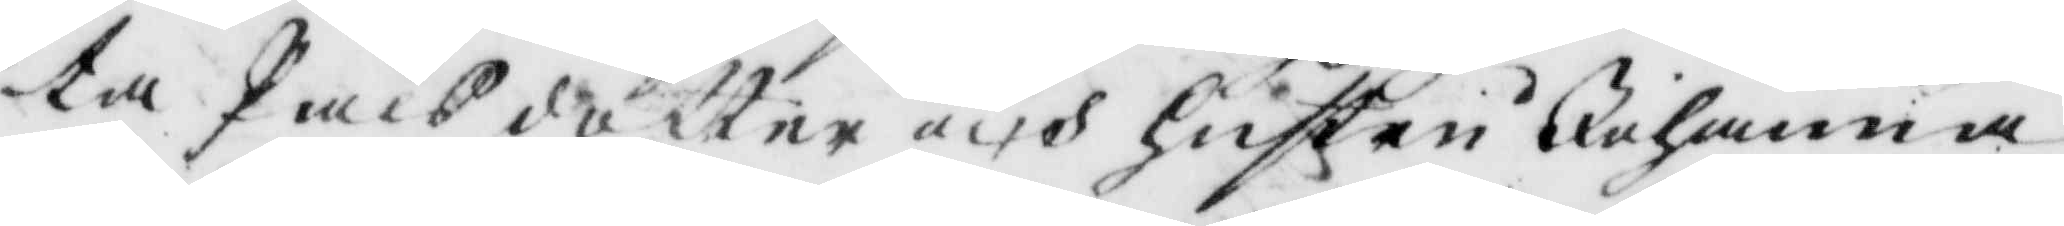ta Pålsdotter och hustru Johanna
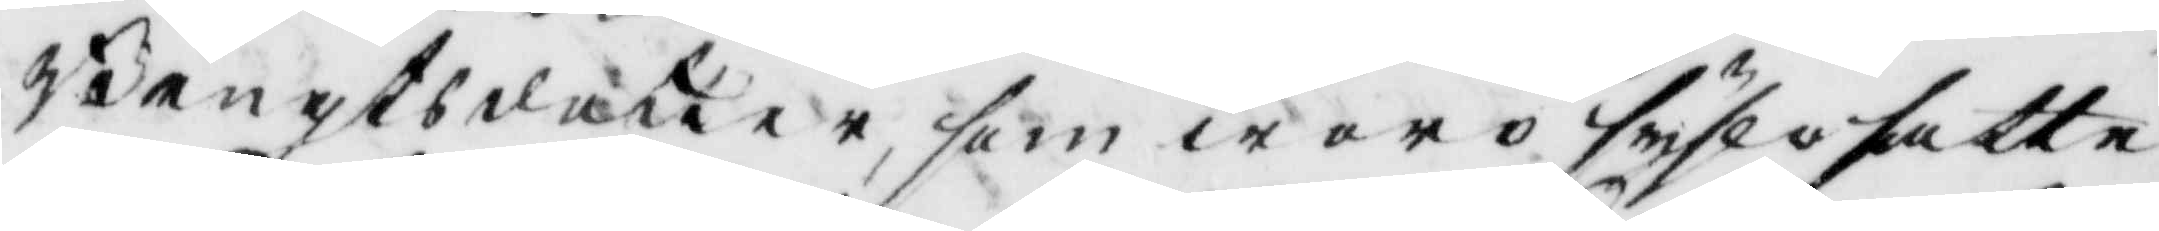Bengtsdotter, som woro syslosatte
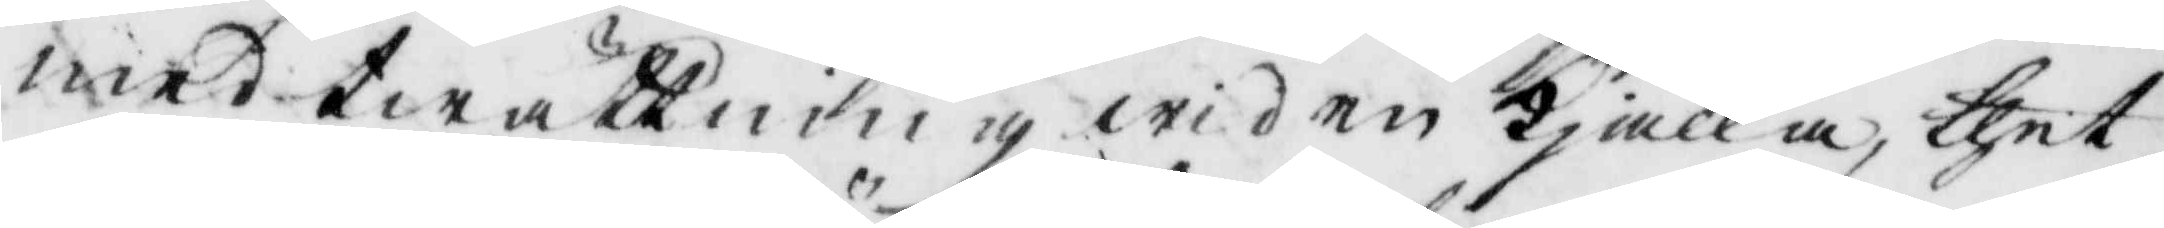med twättning wid en kjälla, thet
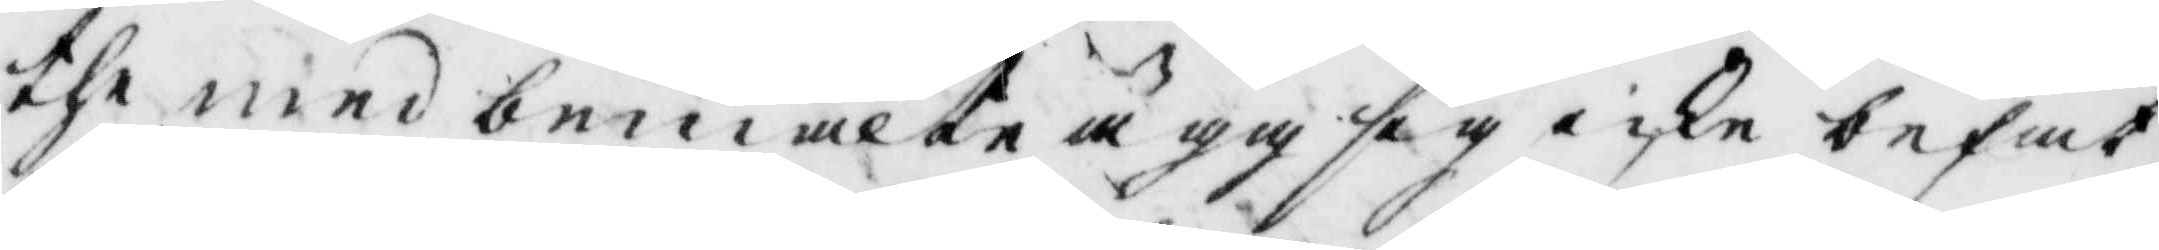the med bemälte ägg sig icke befat¬
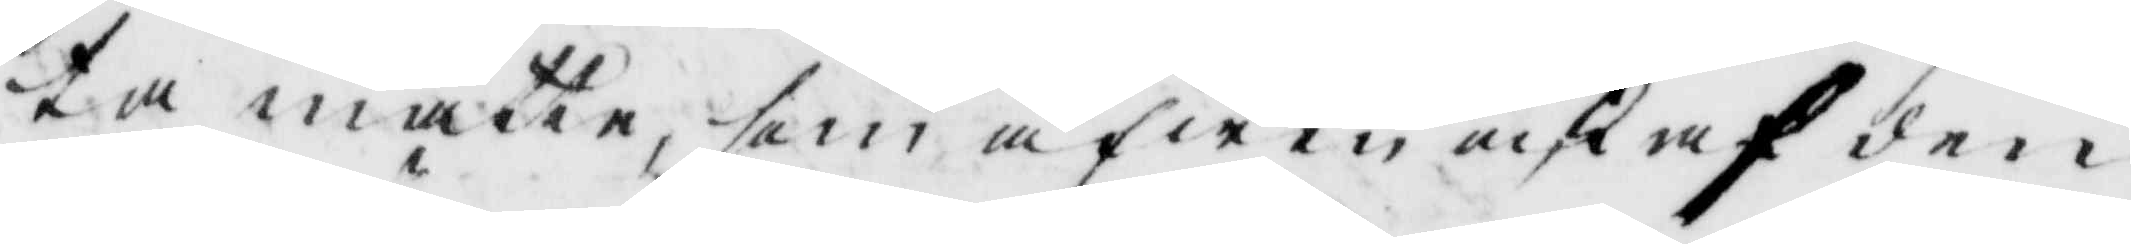ta matte, som äfwen icke af den
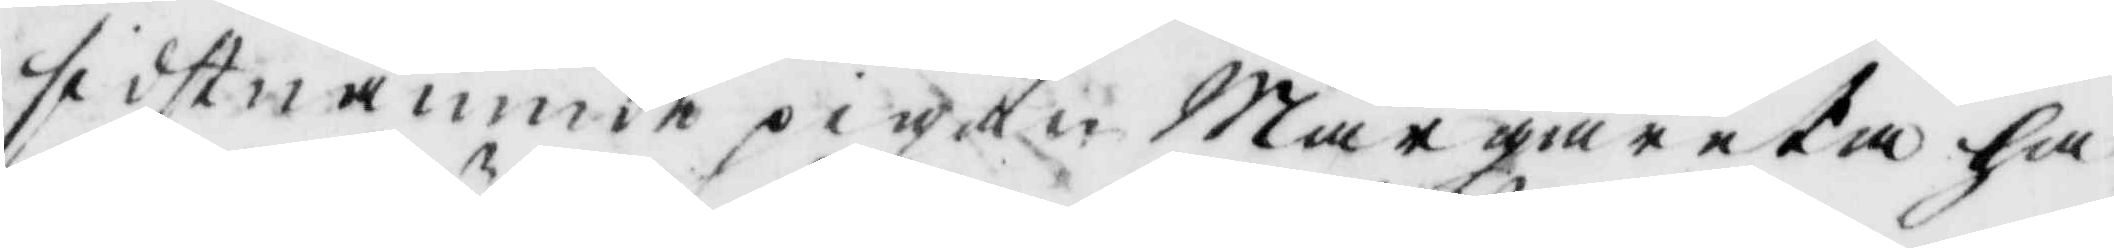sidstnämnde pigan Margareta ha¬
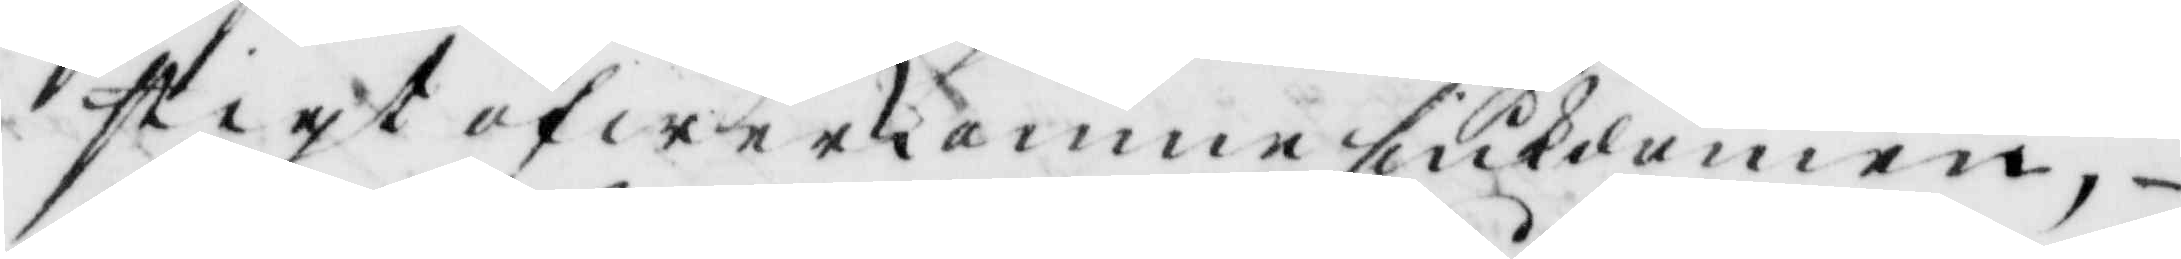stigt öfwerkomne siukdomen,
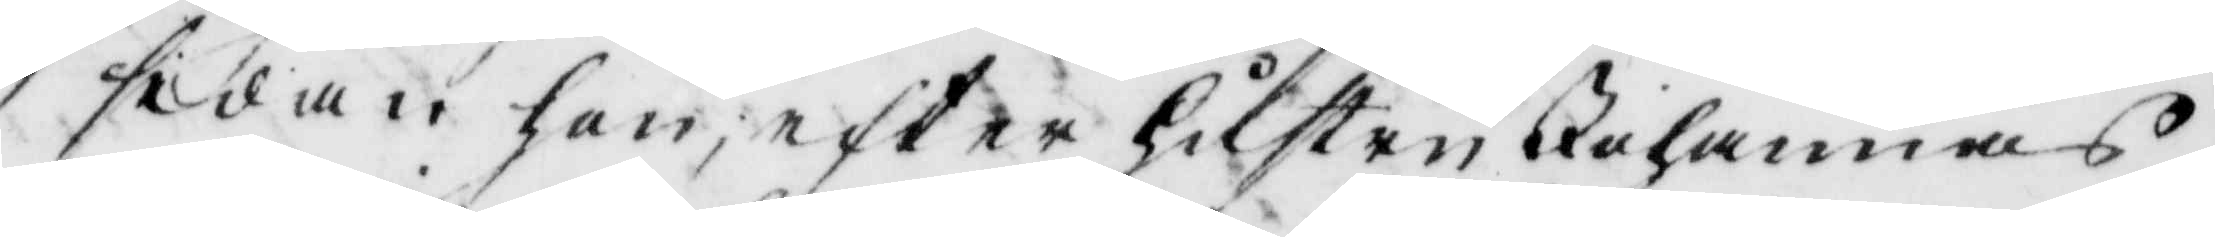sedan hon, efter hustru Johannas
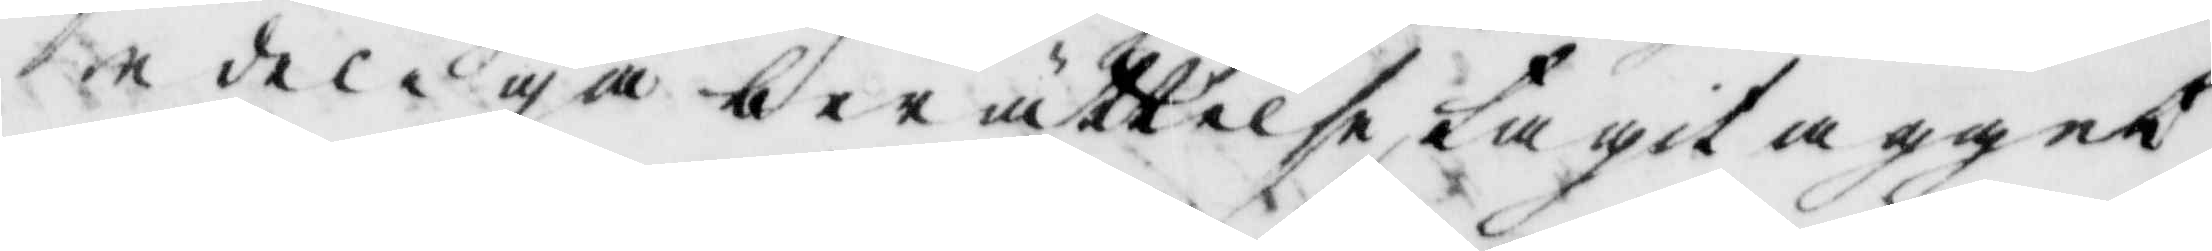edeliga berättelse tagit ägget
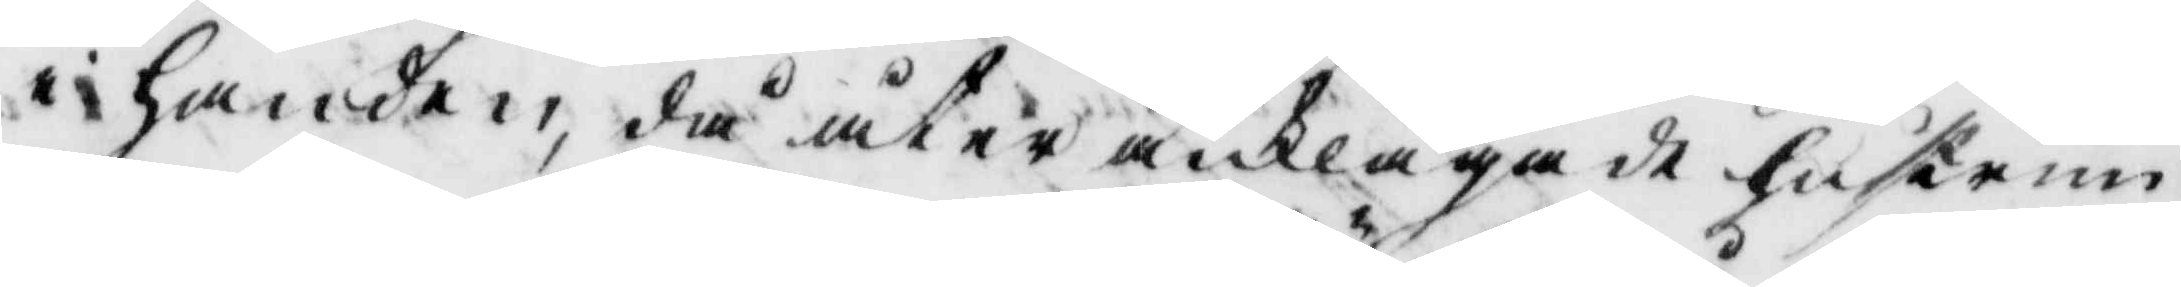i handen, då åter anklagade hustrun
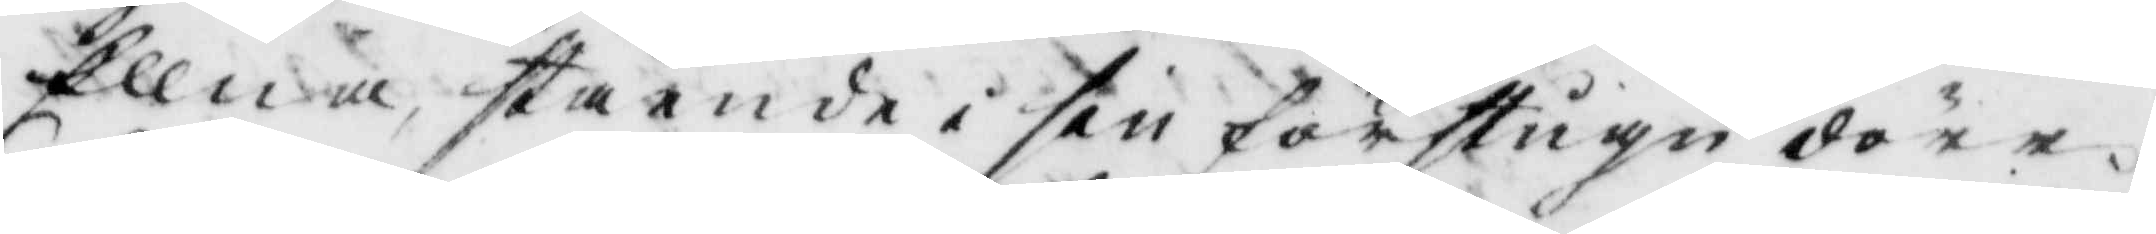Ellna, stående i sin förstugi dörr
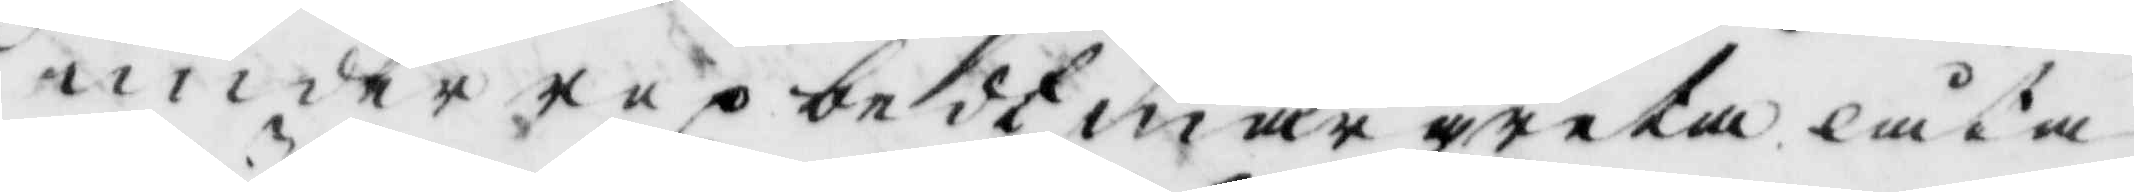under rop bedt margreta låta
